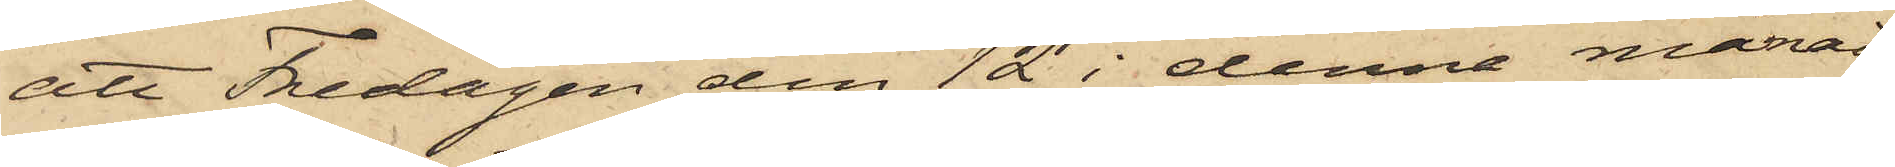att Fredagen den 12 i denna månad
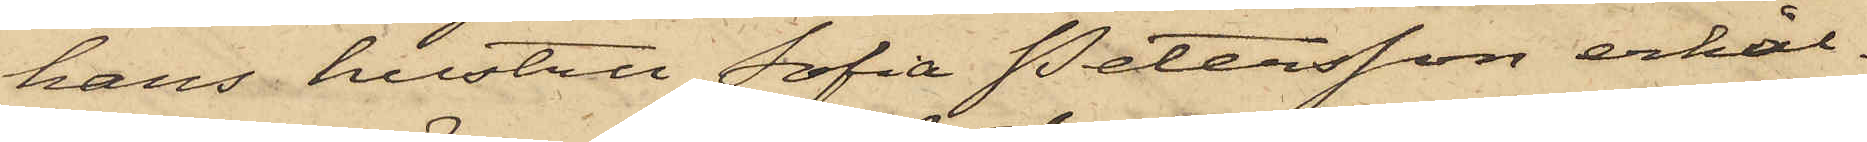hans hustru Sofia Petersson erhål¬
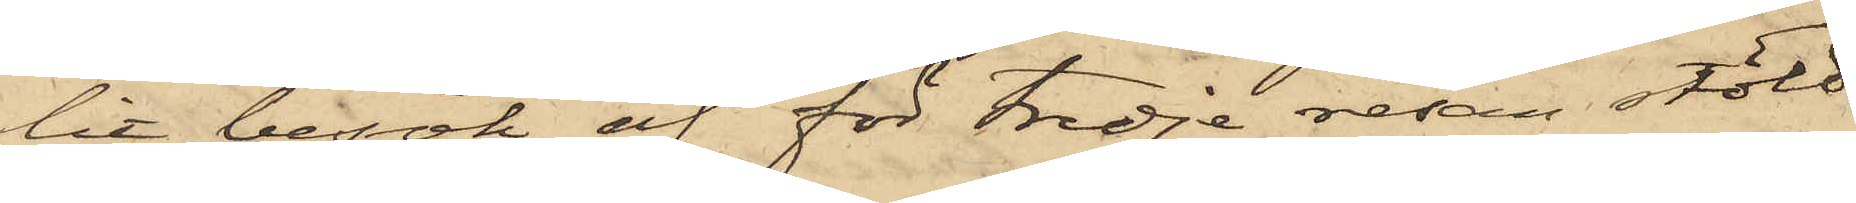lit besök af för tredje resan stöld
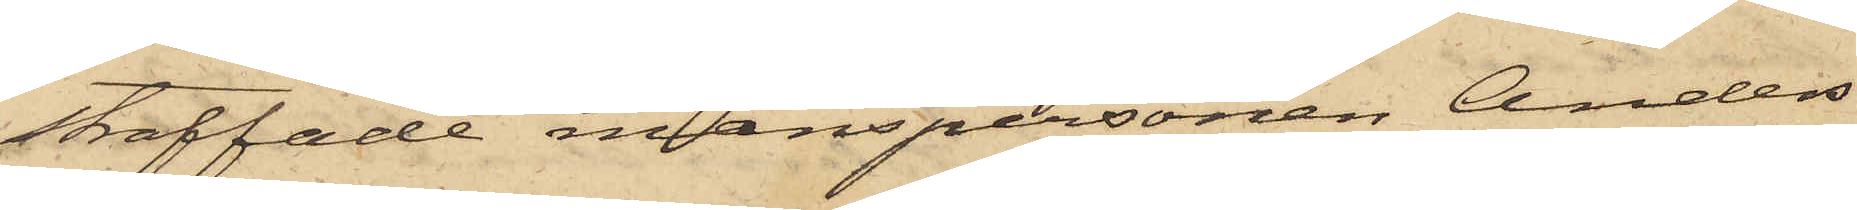straffade manspersonen Anders
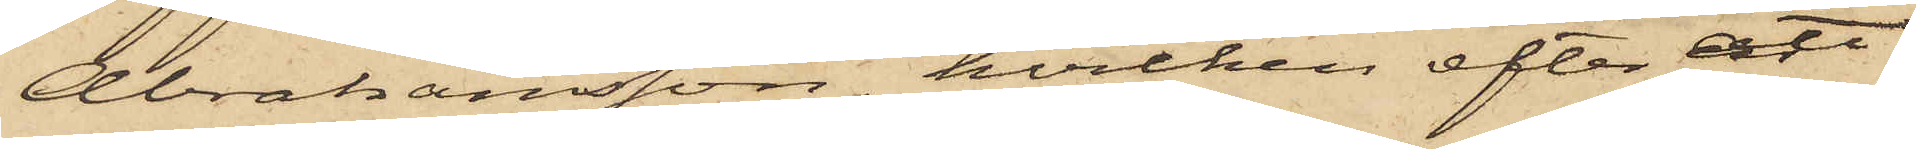Abrahamsson, hvilken efter att
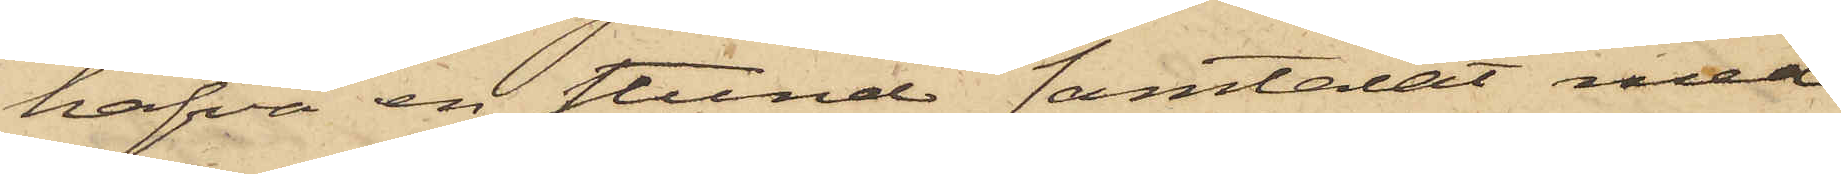hafva en stund samtalat med
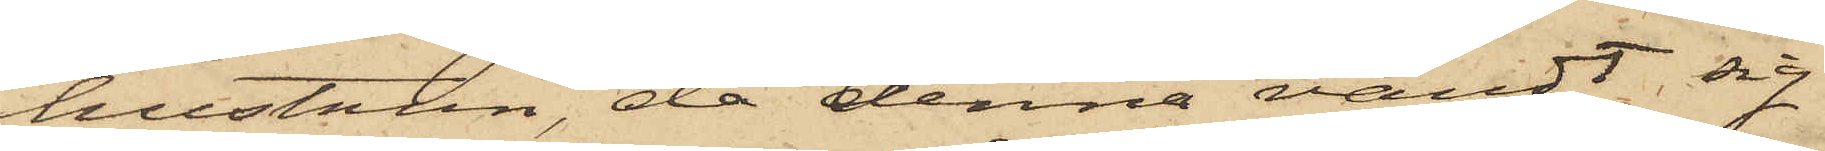hustrun, då denna vändt sig
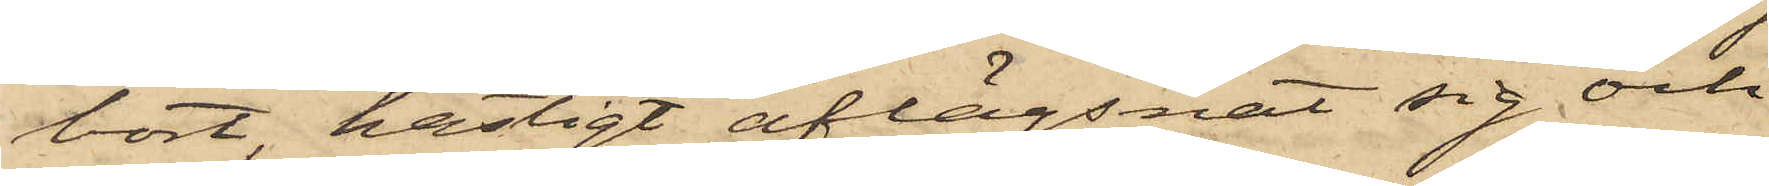bort, hastigt aflägsnat sig och
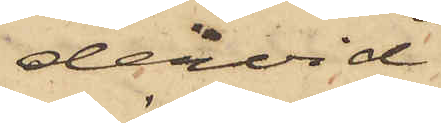dervid
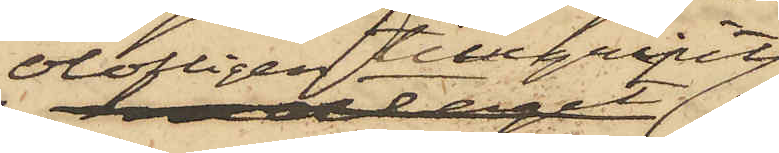olofligen tillgripit
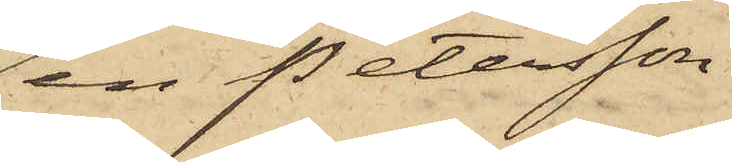en Petersson
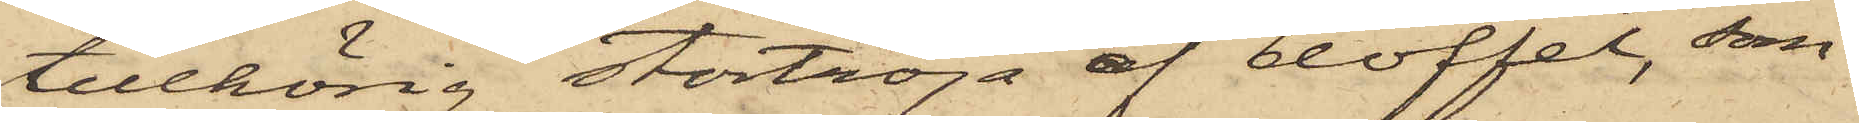tillhörig stortröja af doffel, som
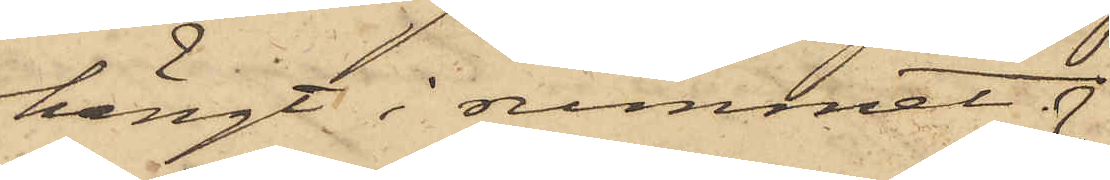hängt i rummet.
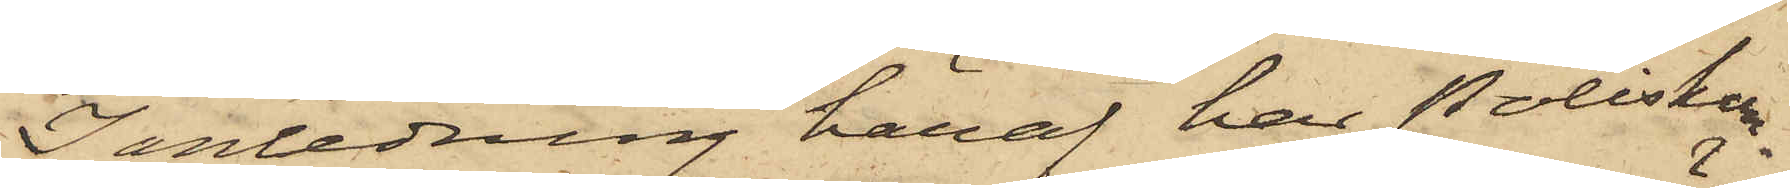I anledning häraf har Poliskon¬
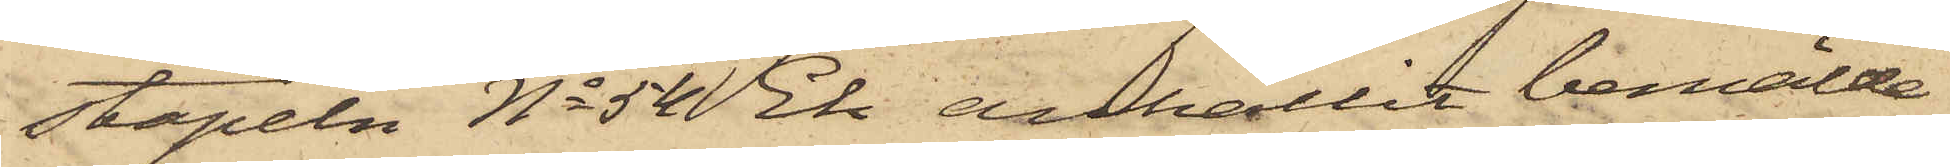stapeln No 54 Ek anhållit bemälde
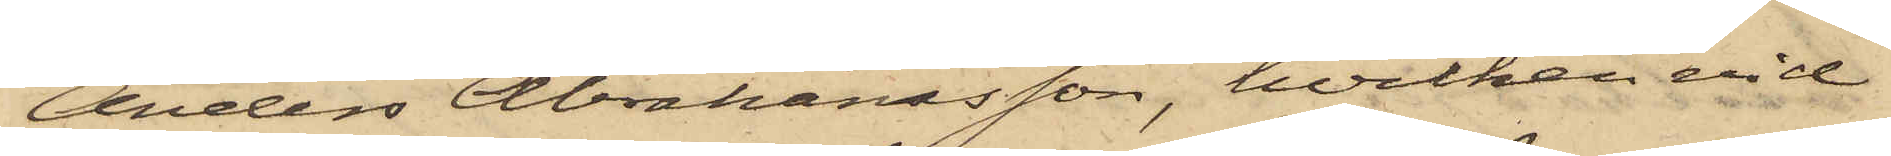Anders Abrahamsson, hvilken vid
